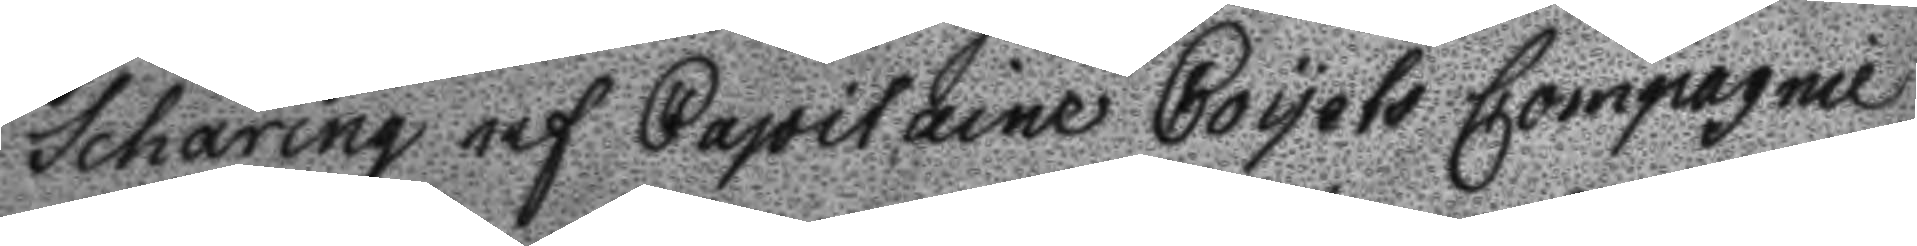Schäring af capitaine Coyets Compagnie
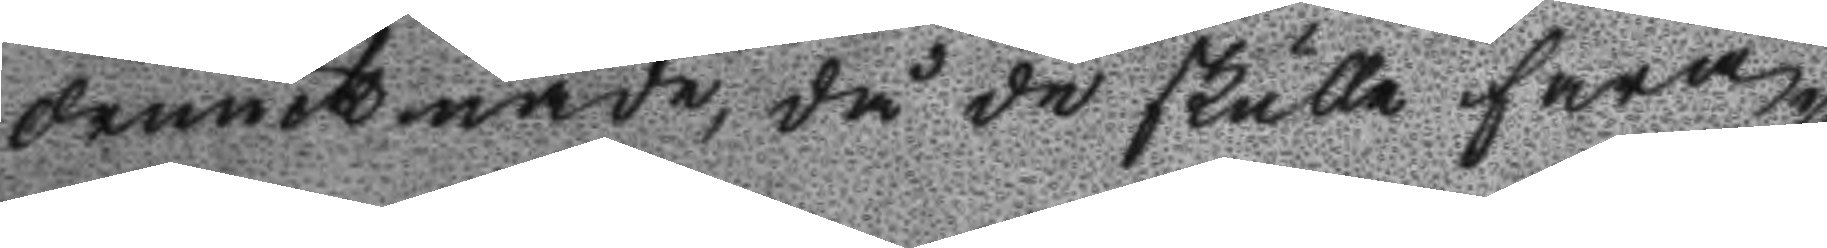drunknade, då de skulle fara
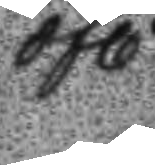öfl
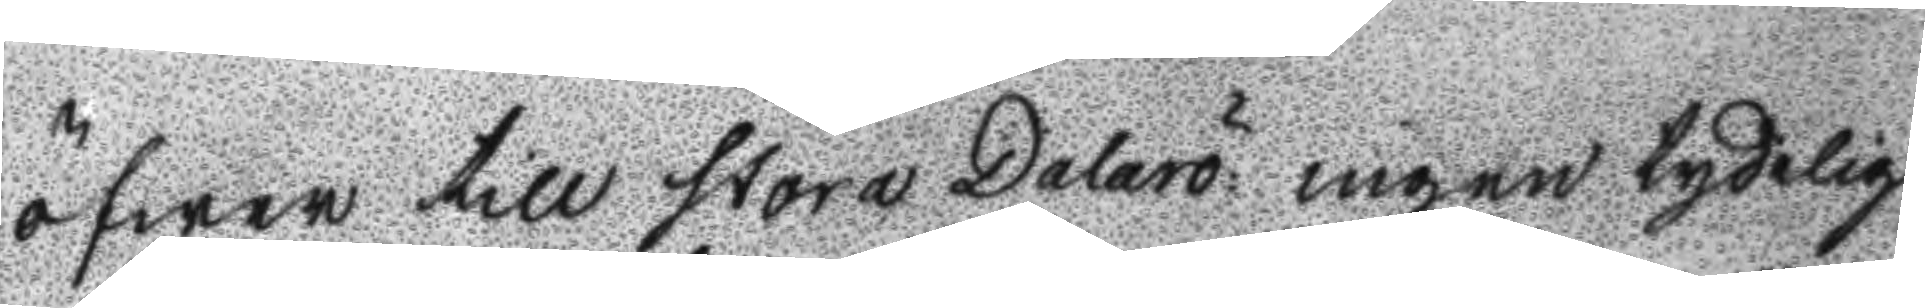öfwer till stora Dalarö ingen tydlig
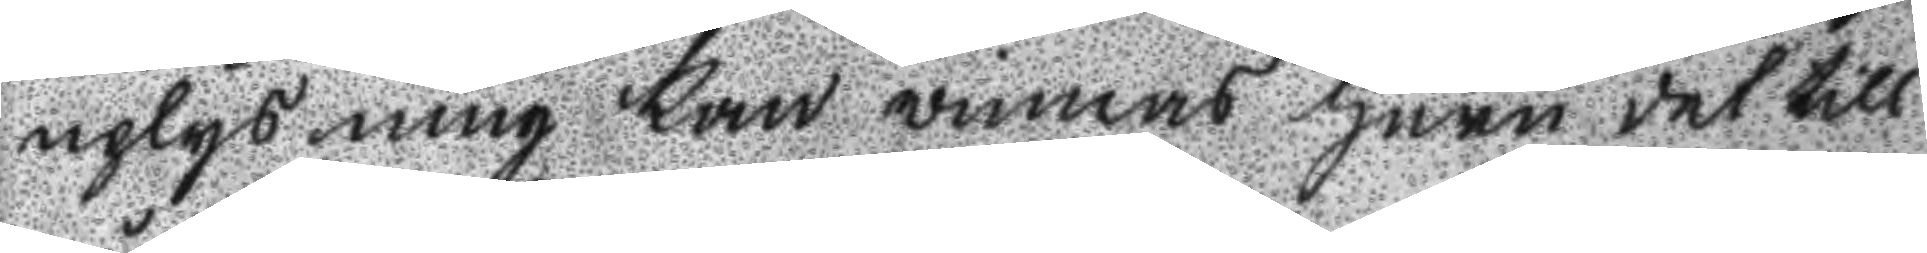uplysning kan winnas huru det till
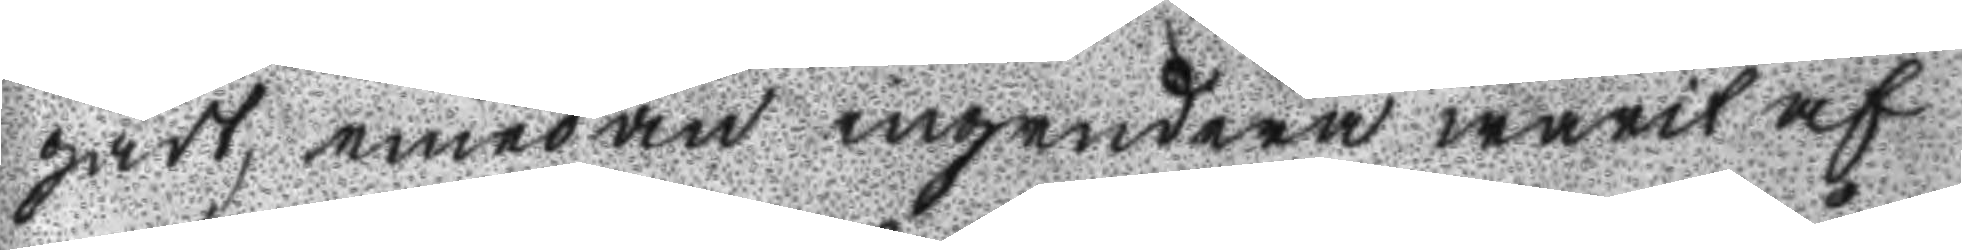gådt, emedan ingedera warit af
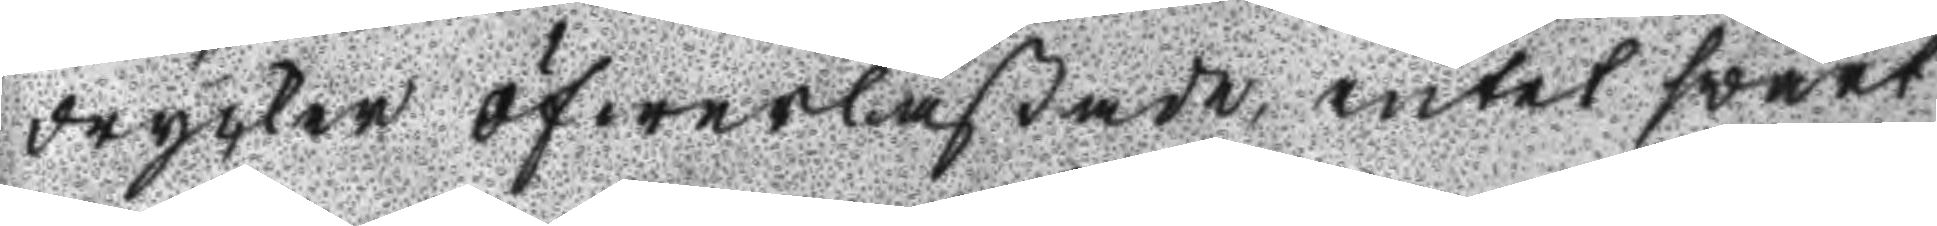drycker öfwerlastade, intet swårt
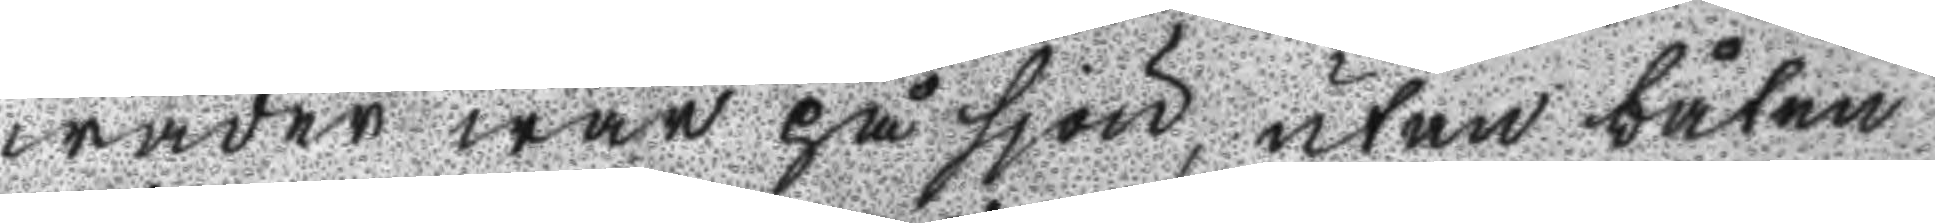wäder war på sjön, utan båten
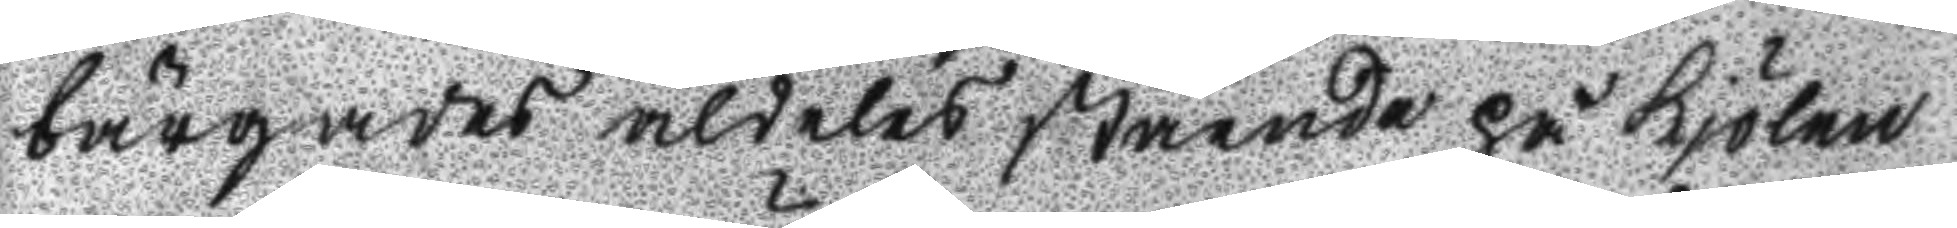bärgades aldeles stående på kjölen
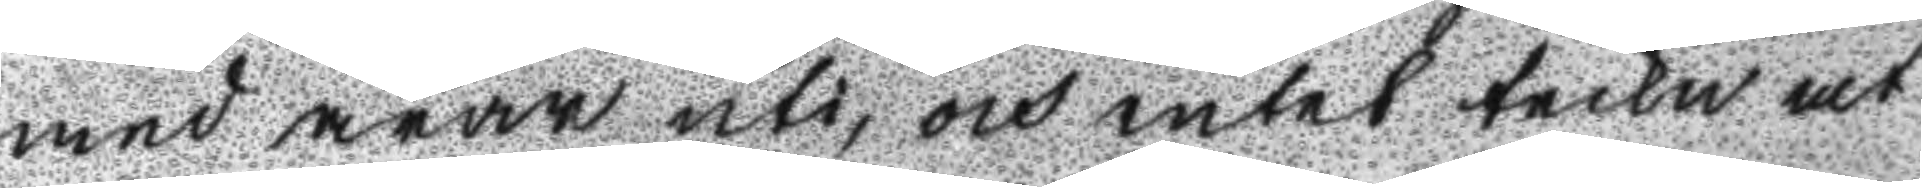med årar uti, och intet teckn at
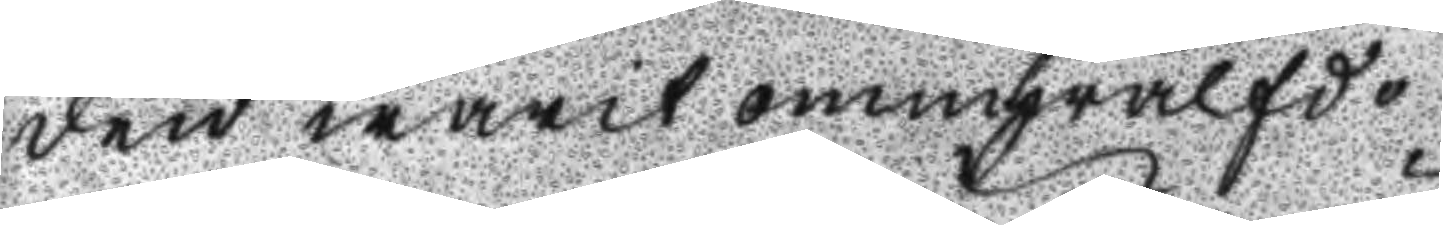den warit ommhwälfd.
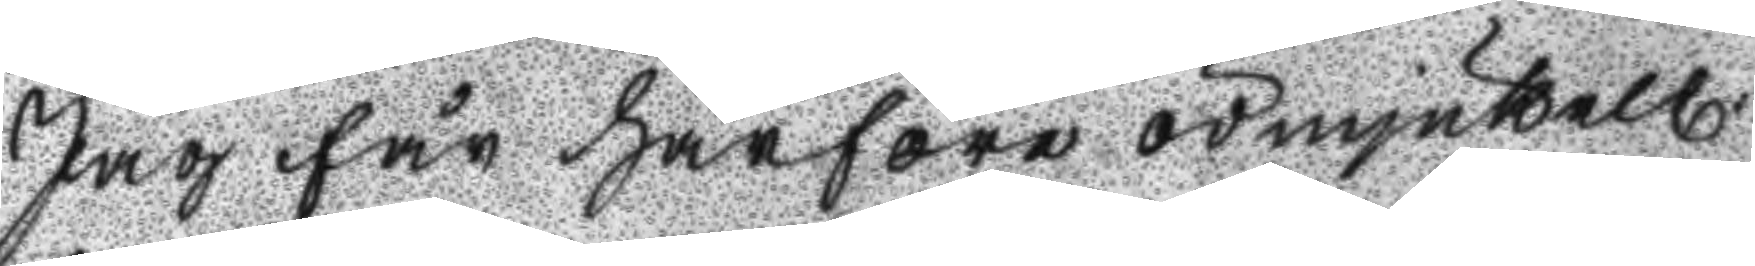Jag får härföre ödmjukel
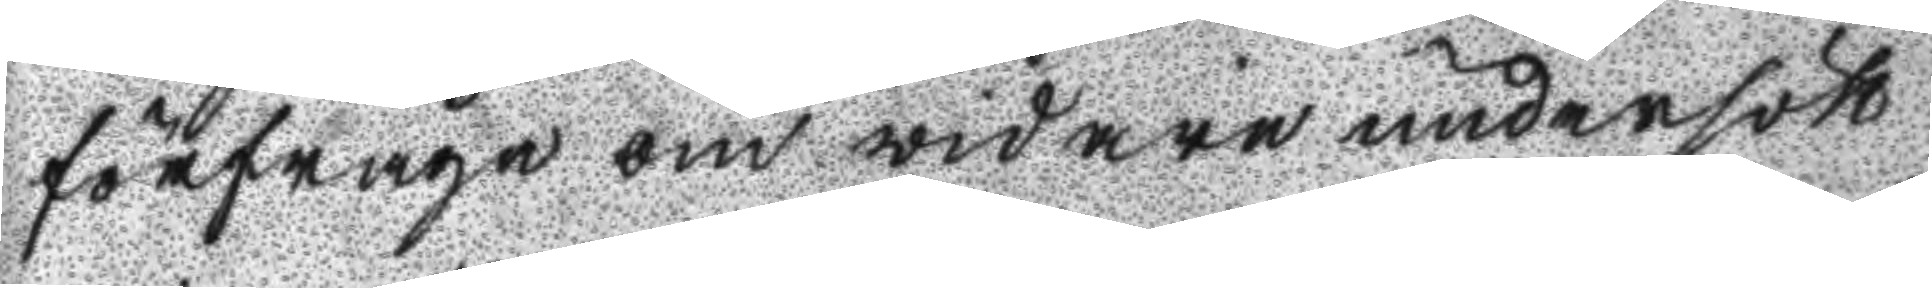förfråga om widare undersök
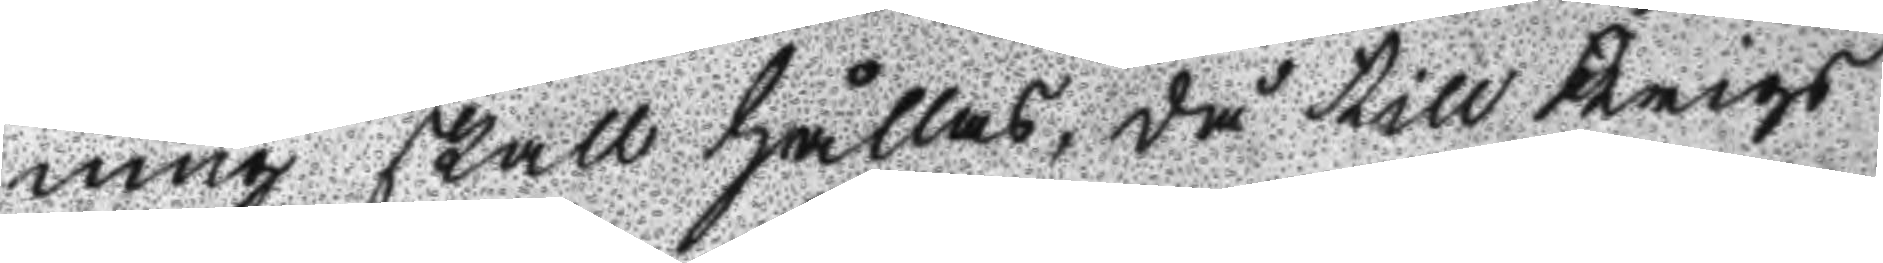ning skall hållas, då till Krigs
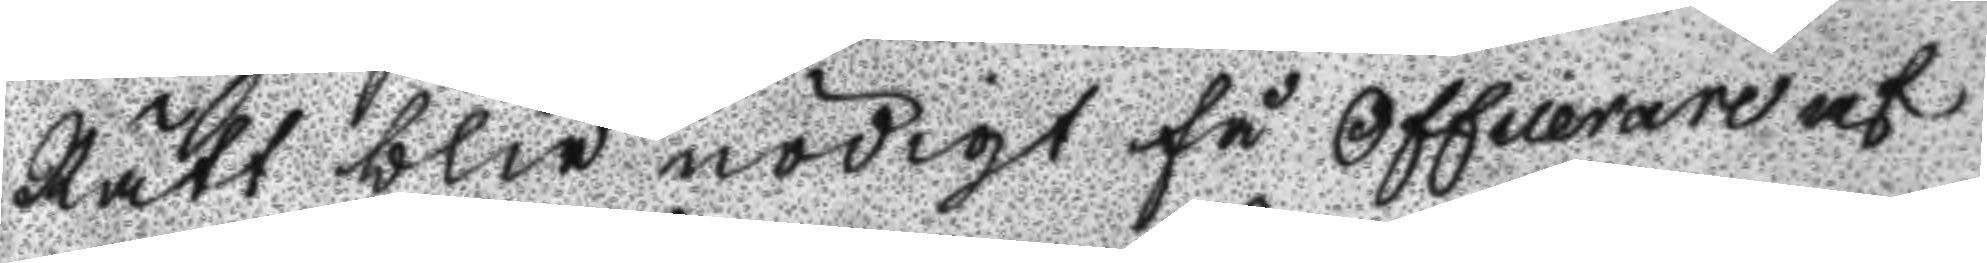Rätt blir nödigt få Officerare af
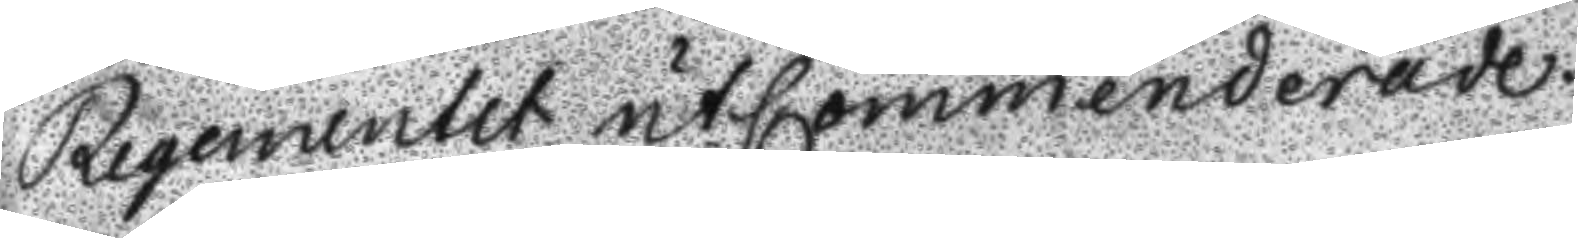Regementet utommenderade.
